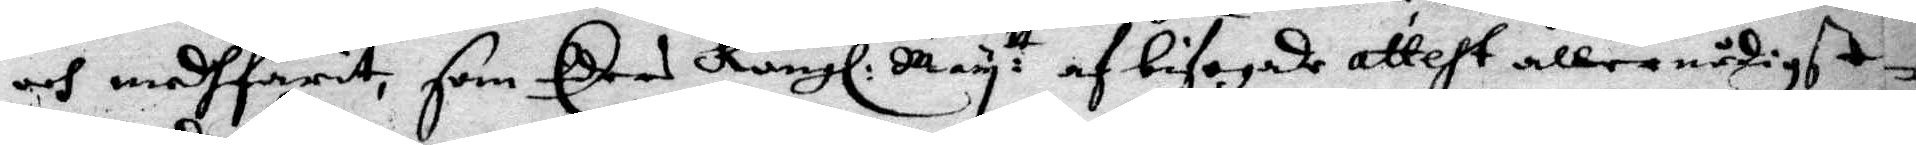och medhfarit, som Eders Kungl: May:tt af bifogade attest allernådigst
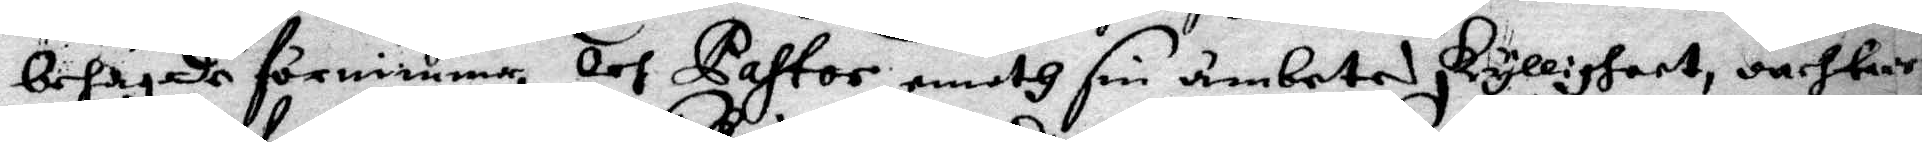behagade förnimma, och Pastor emoth sim ämbetes skylligheer, oachtat
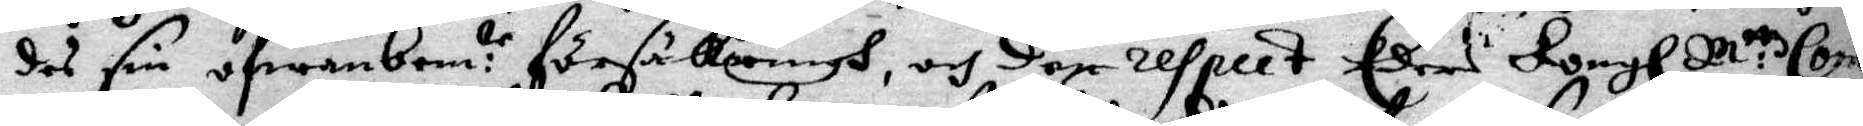des sin ofwanbem:te försäkrings, och den respect Eders Kongl M:tz Com¬
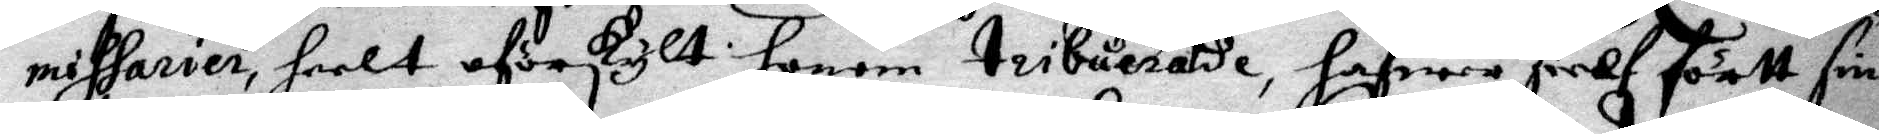missarien, heelt oförskylt honom tribuerade, hafwer sielf förtt sin
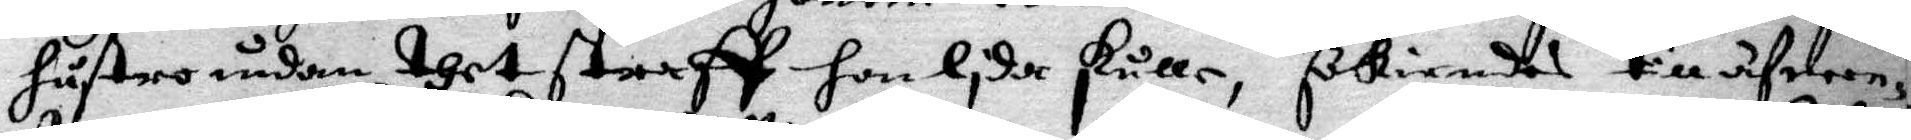hustro undan thet straff hon lida skulle, föriendes till äfwen¬
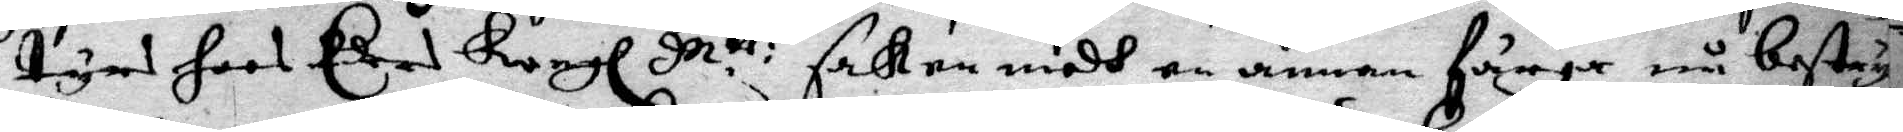tyrs hoos Eders Kongl M.tt: saken medh en annan färga må betyg¬
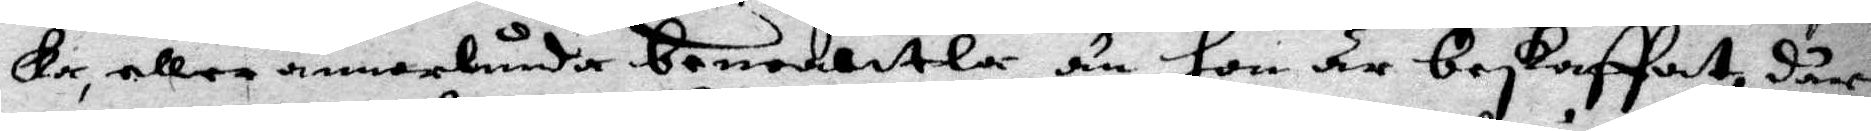ka, eller annorlunda beneaktla än hon är beskaffat, där
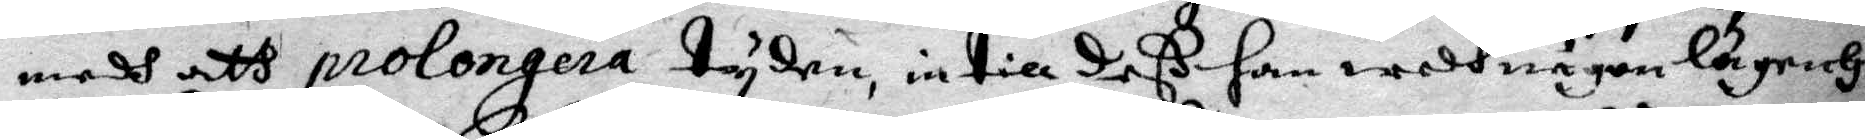medh att prolongera tyden, intill deß han medh någon lägenhz
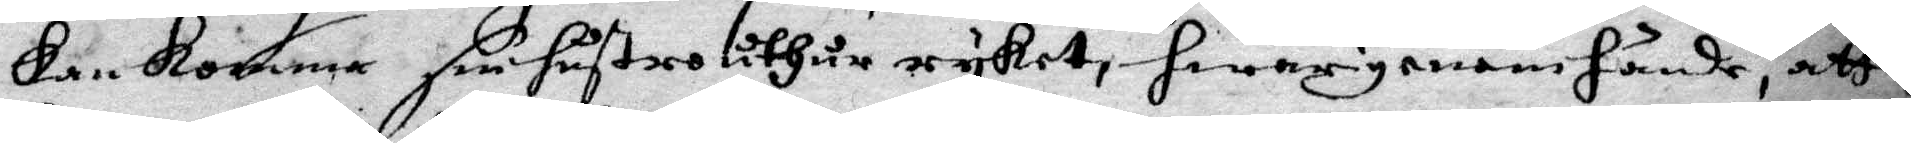kan komma sin hustro uthur ryket, hwarigenom hände, att
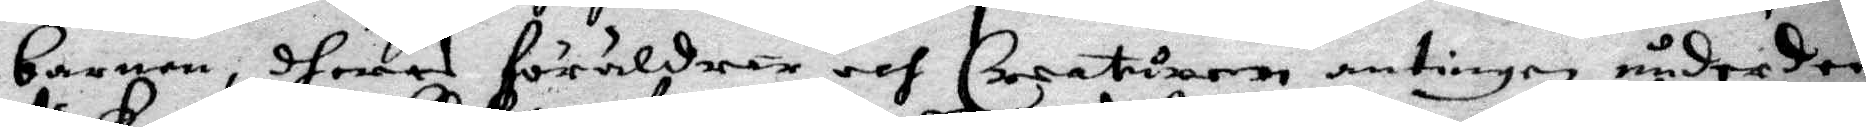barnen, dheras föräldrar och Creaturen antingen under den
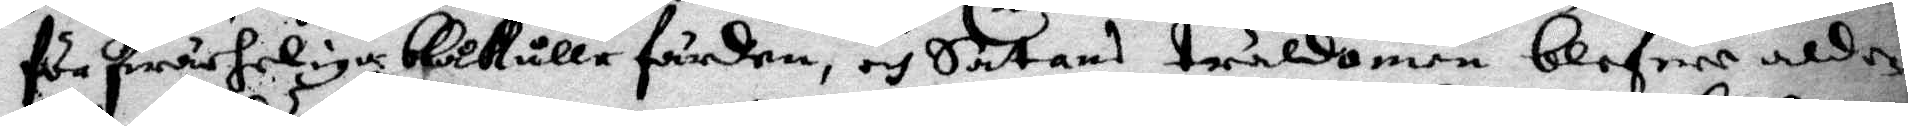förskrächelige blåkullefärden, och Satans truldomen blefwe aldde¬
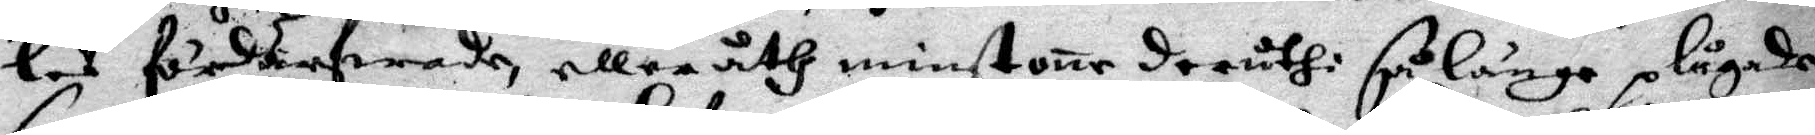les fördärfwade, eller åth minstone deruthi så länge plågade
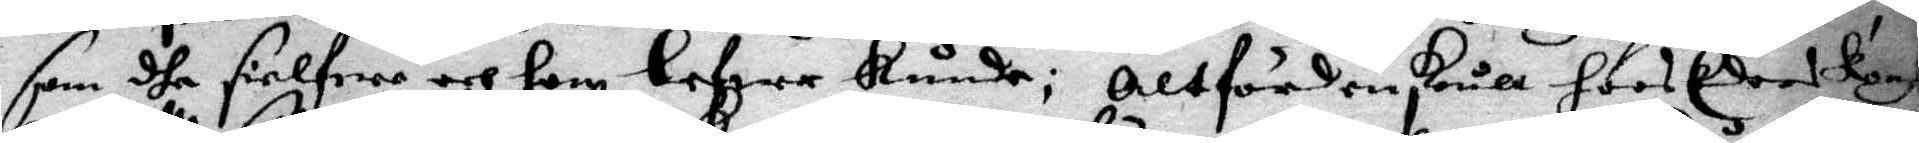som dhe sielfwa och hon lefwer kunde; altfördenskull hoos Eders Kongl
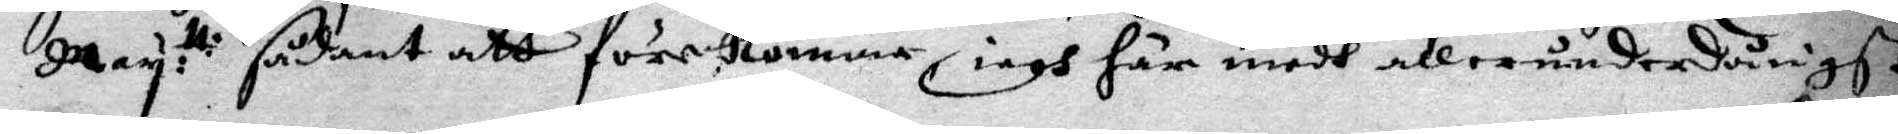May:tt: sådant att förekomma iagh här medh allerunderdånigst
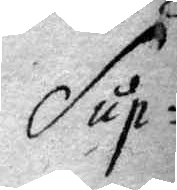sup¬
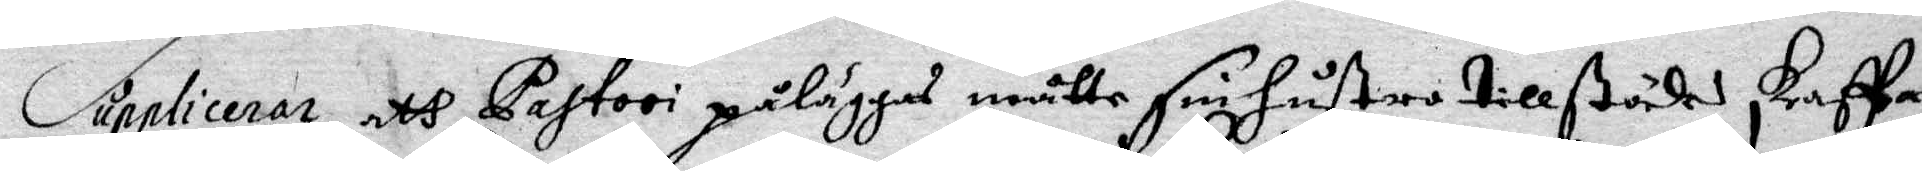Supplicerar, att Patori påläggas måtte sin hustro tillstädes skaffa
